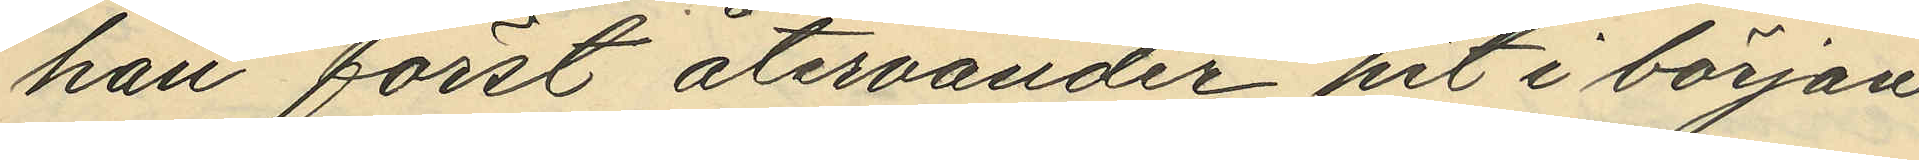han först återvänder hit i början
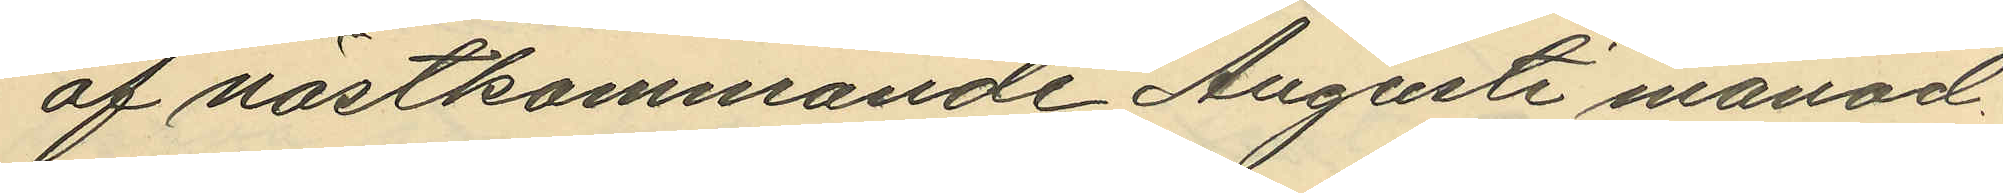af nästkommande Augusti månad.
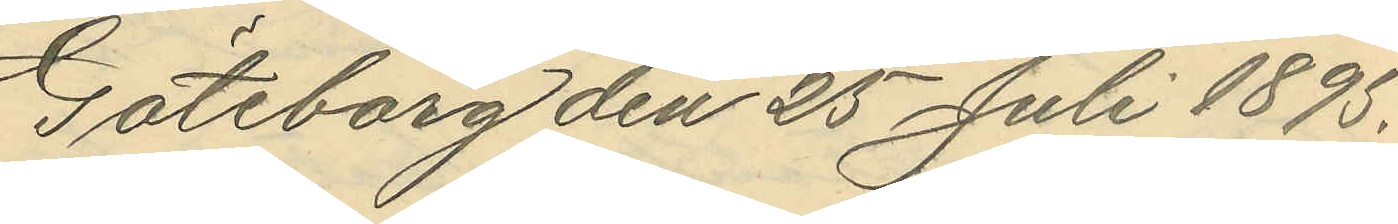Göteborg den 25 Juli 1895.
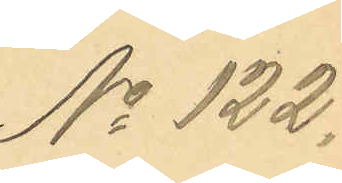No 122.
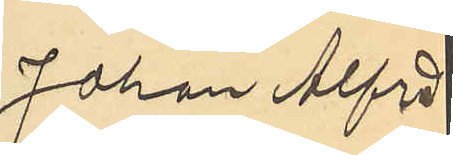Johan Alfred
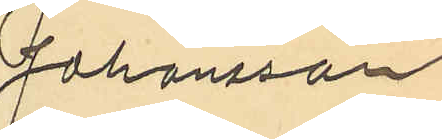Johansson
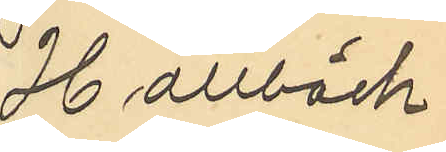Hallbäck
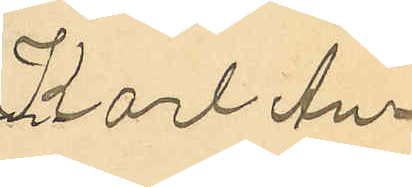Karl An¬
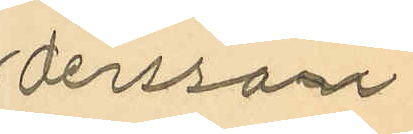derssom
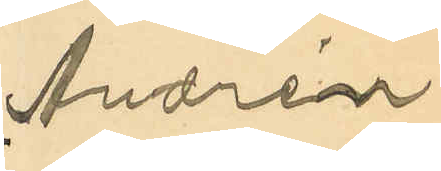Andrén
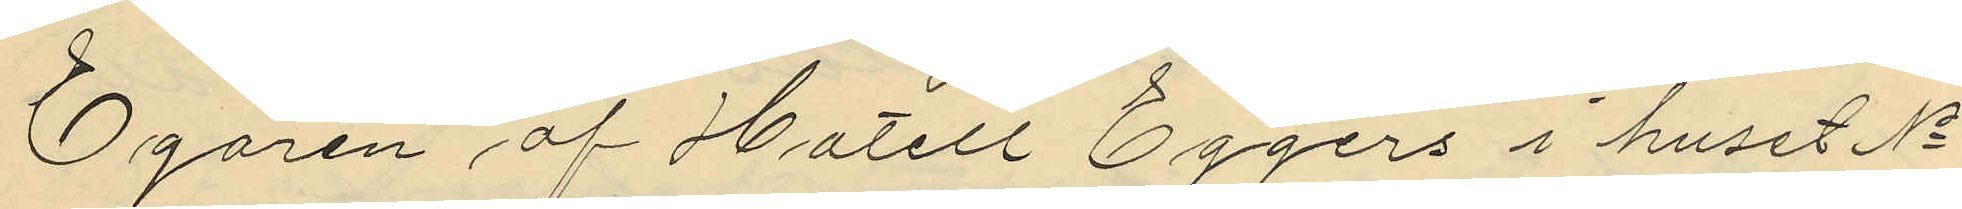Egaren af Hotell Eggers i huset No
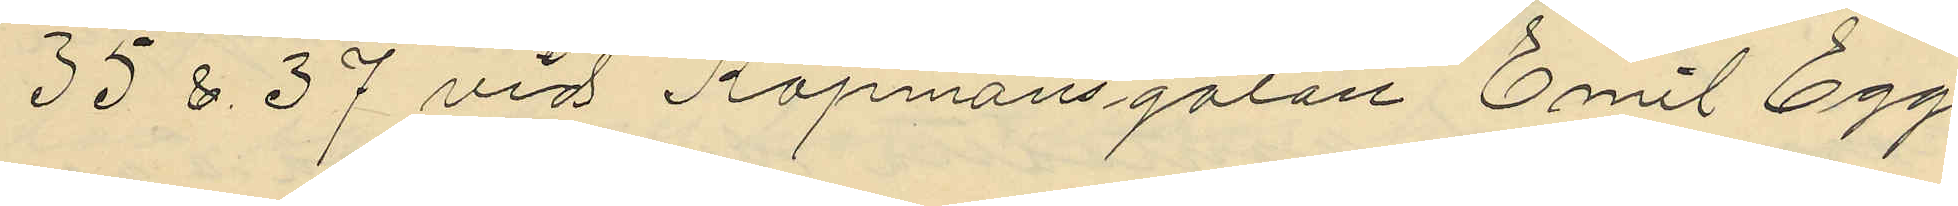35 & 37 vid Köpmansgatan Emil Egg¬
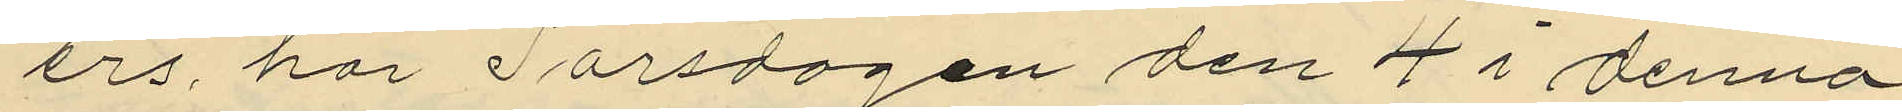ers, har Torsdagen den 4 i denna
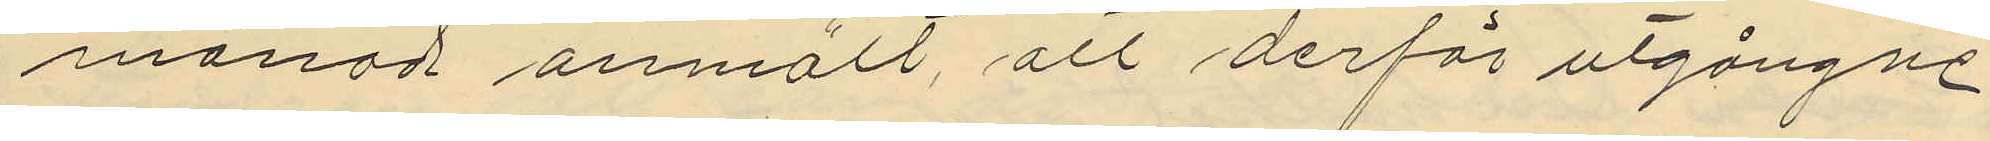månad anmält, att derförutgångne
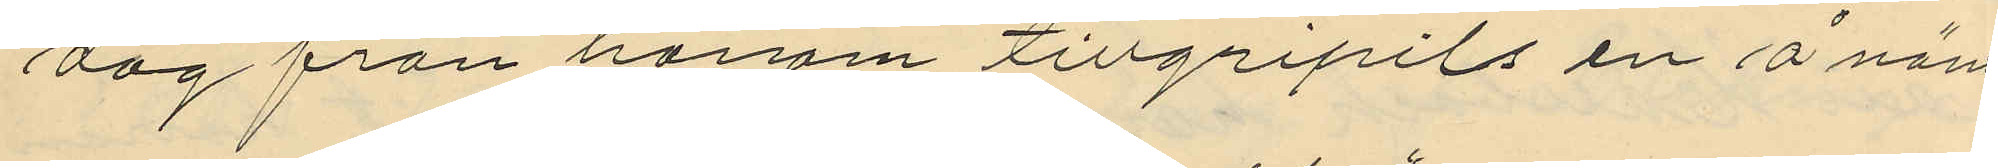dag från honom tillgripits en å nämn¬
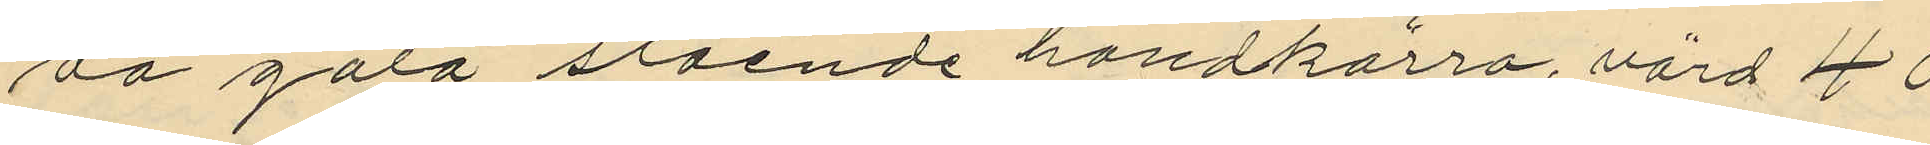da gata stående handkärra, värd 40
